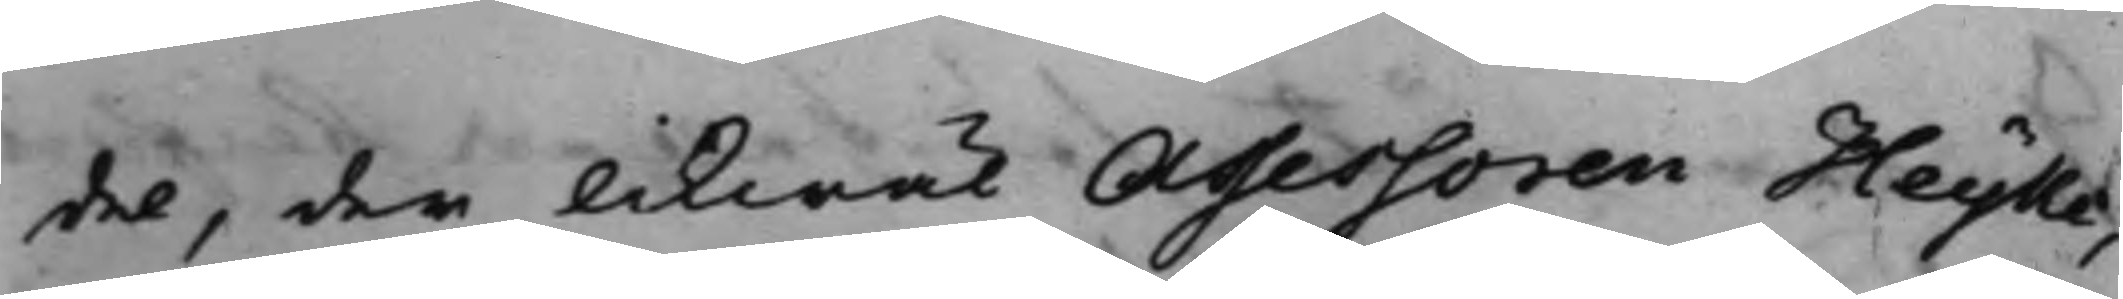del, der likwäl Assessoren Heyke
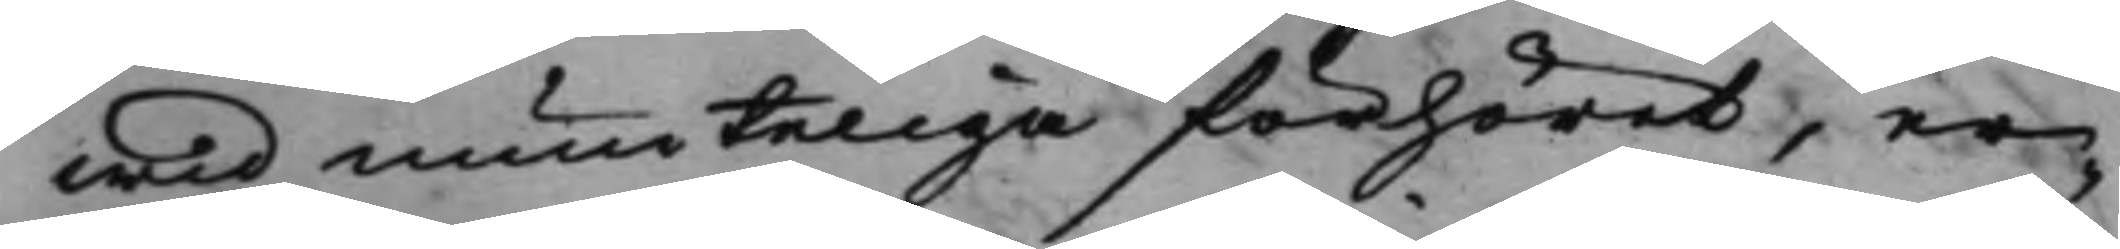wid munteliga förhöret, er¬
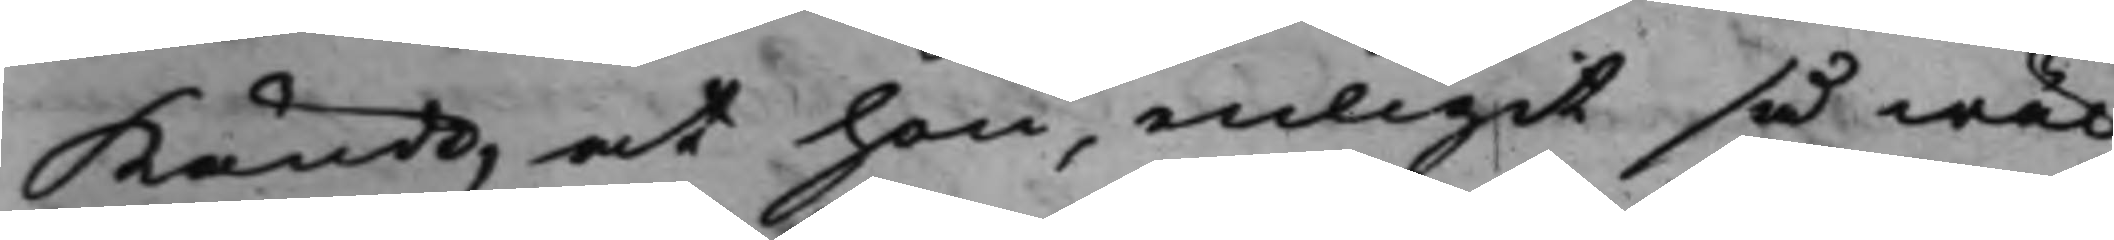kände, at han, enligit så wäl
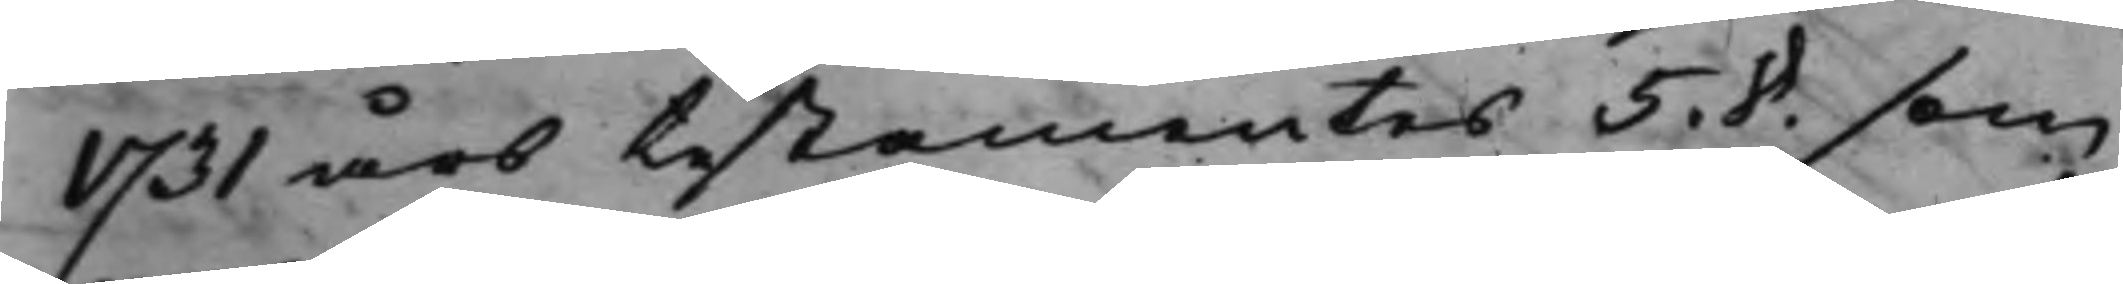1731 års testamentes 5. 8. som
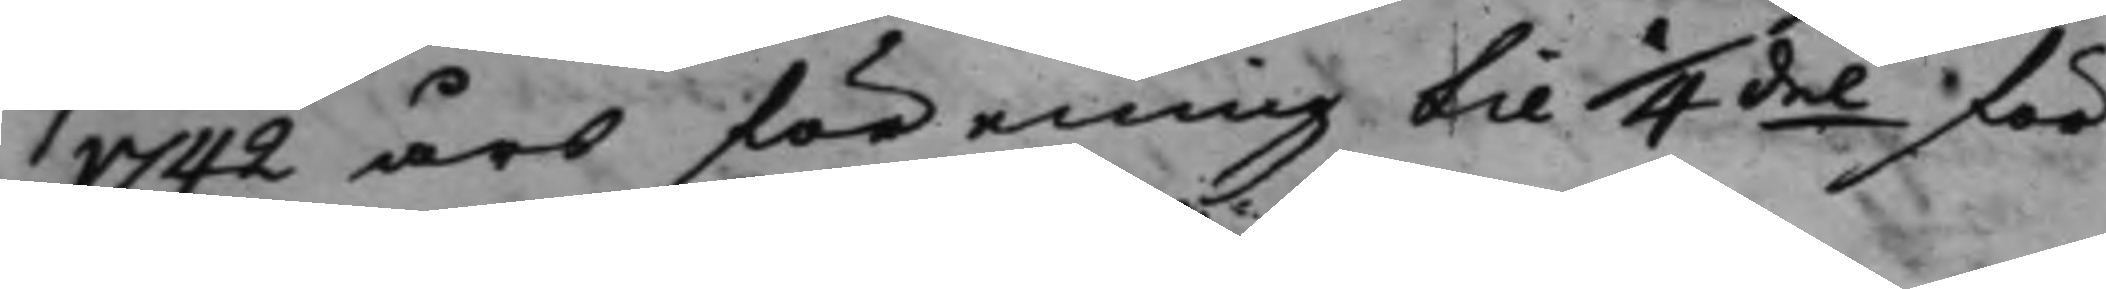1742 års förening til 1/4del för¬
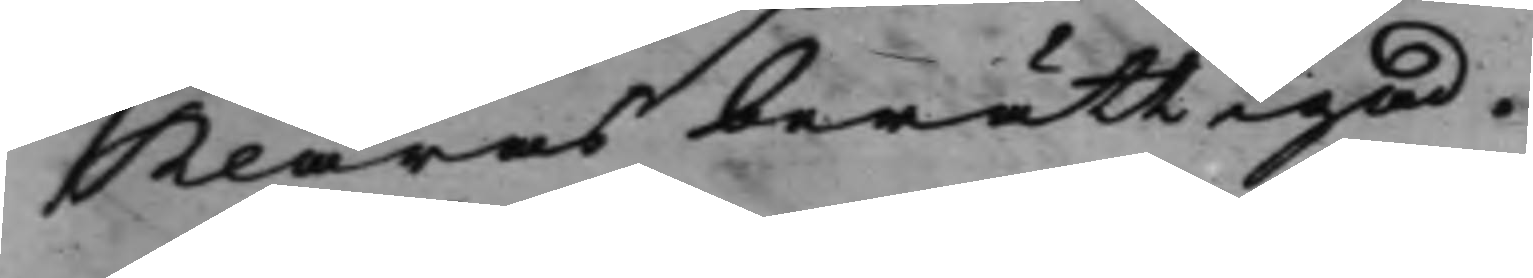klaras berättigad.
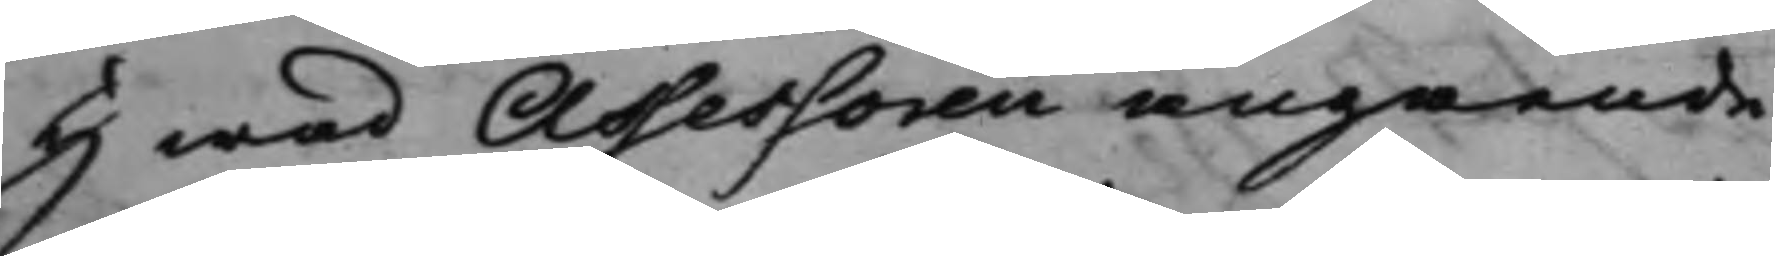Hwad Assessoren angående
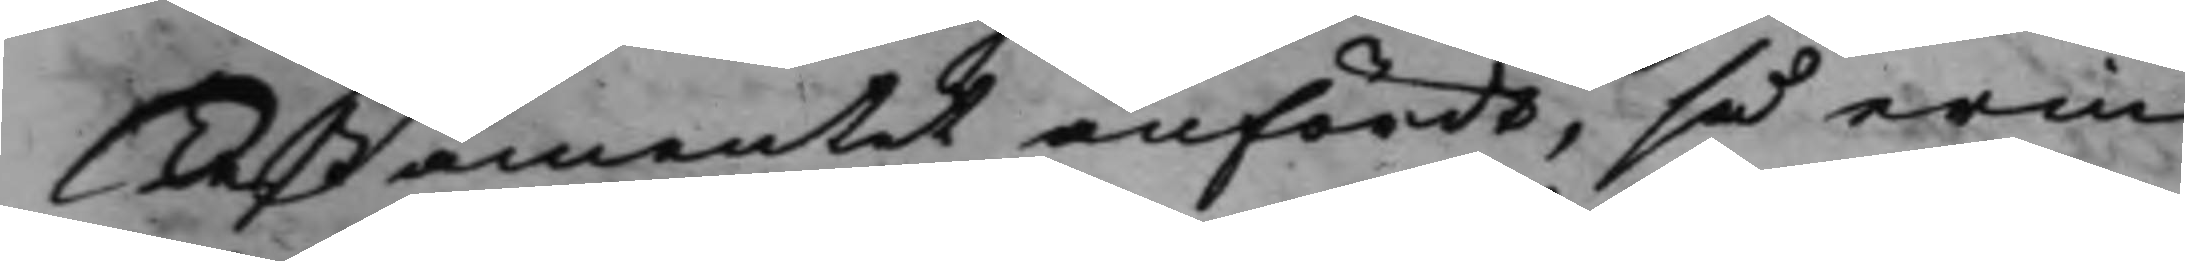Testamentet anförde, så erin¬
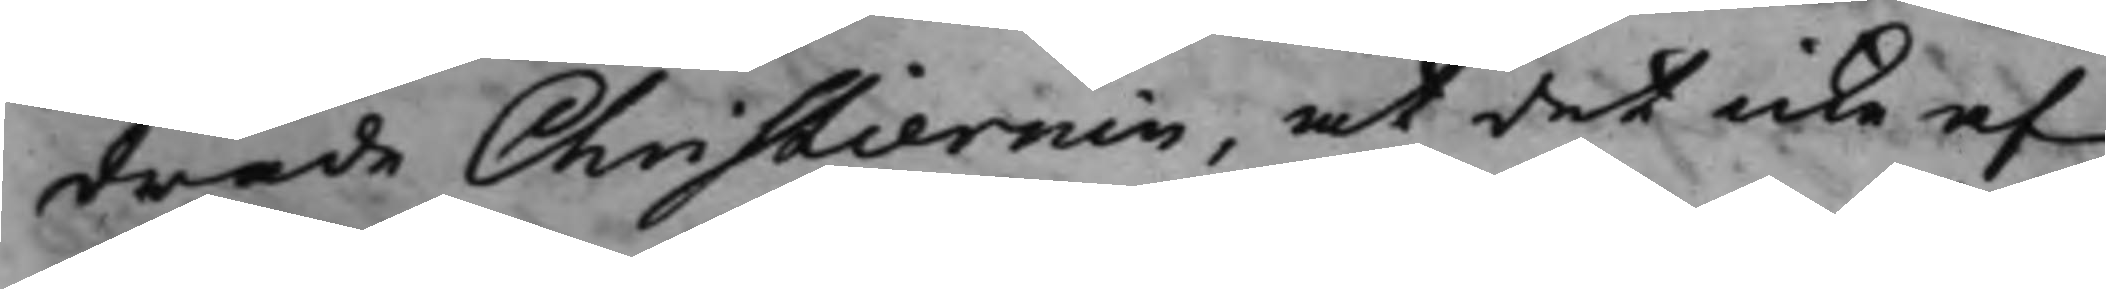drade Christiernin, at det icke af
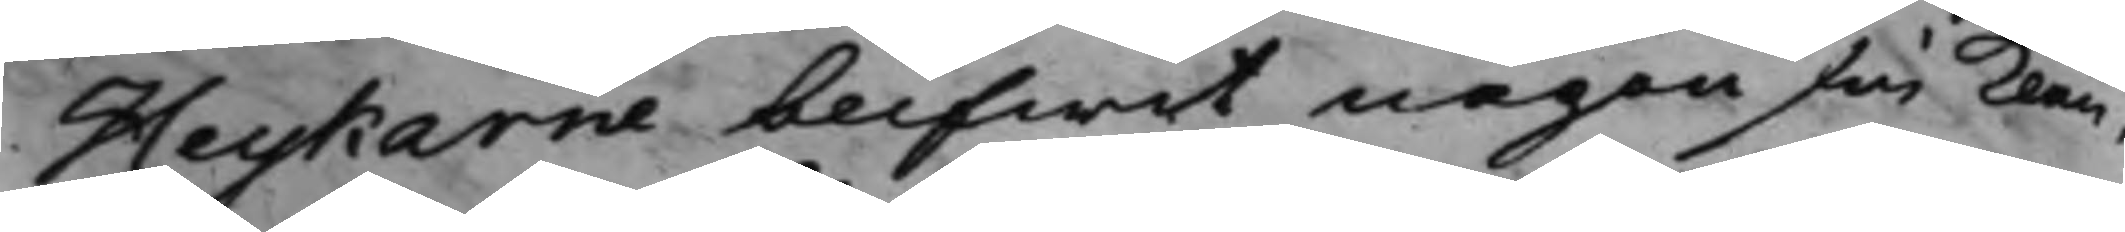Heykarne blifwit någonsin klan¬
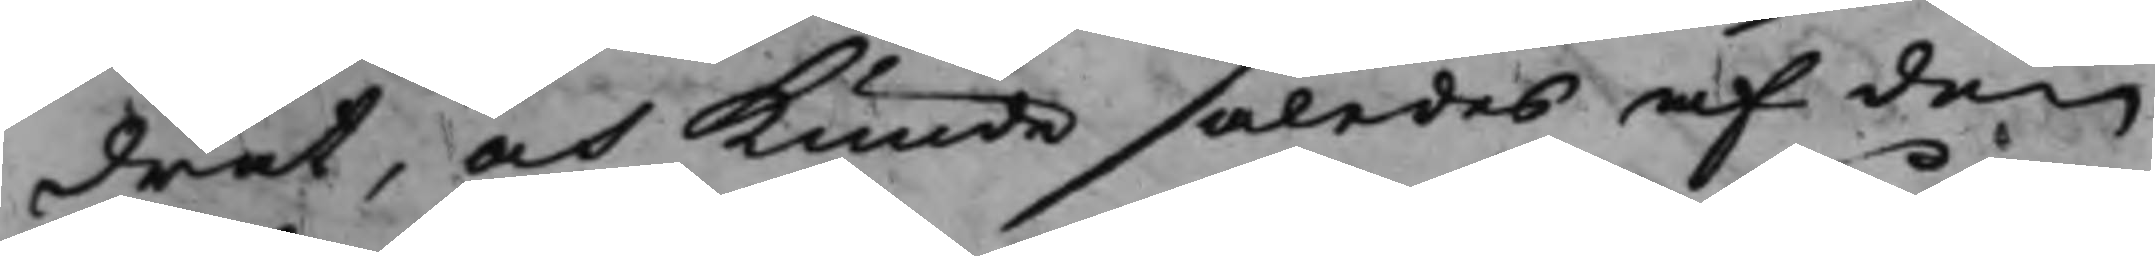drat, och Kunde således af den
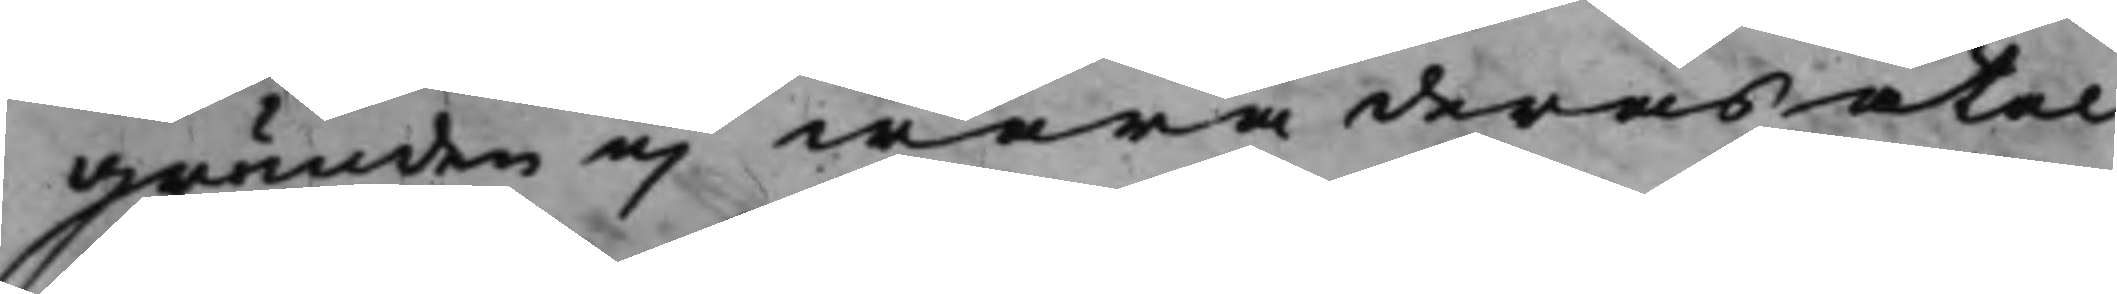grunden ej wara deras åtal
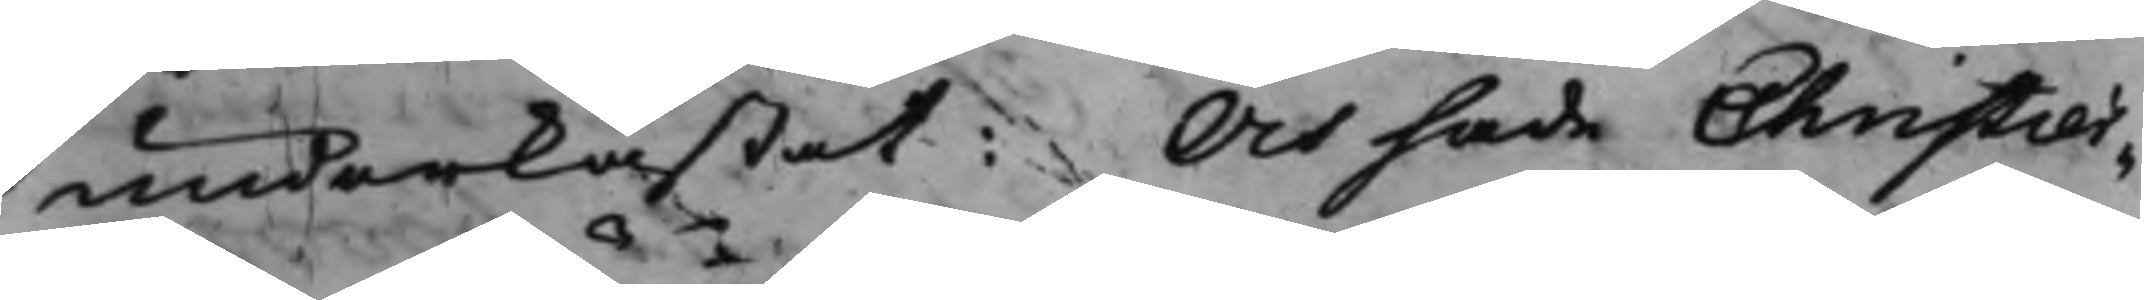underkastat: Och sade Christier¬
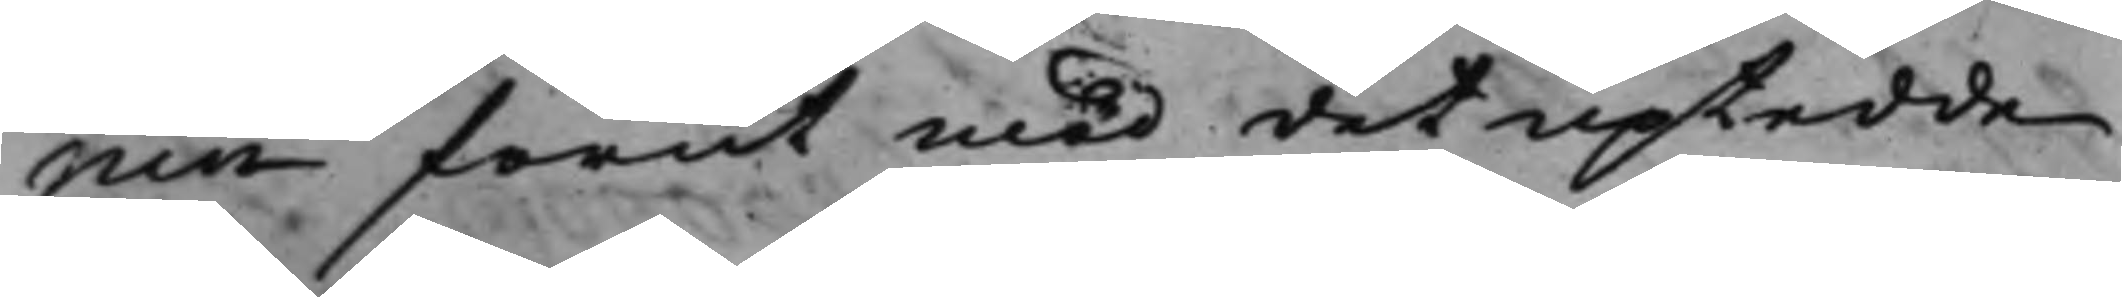nin förut med det uptedde
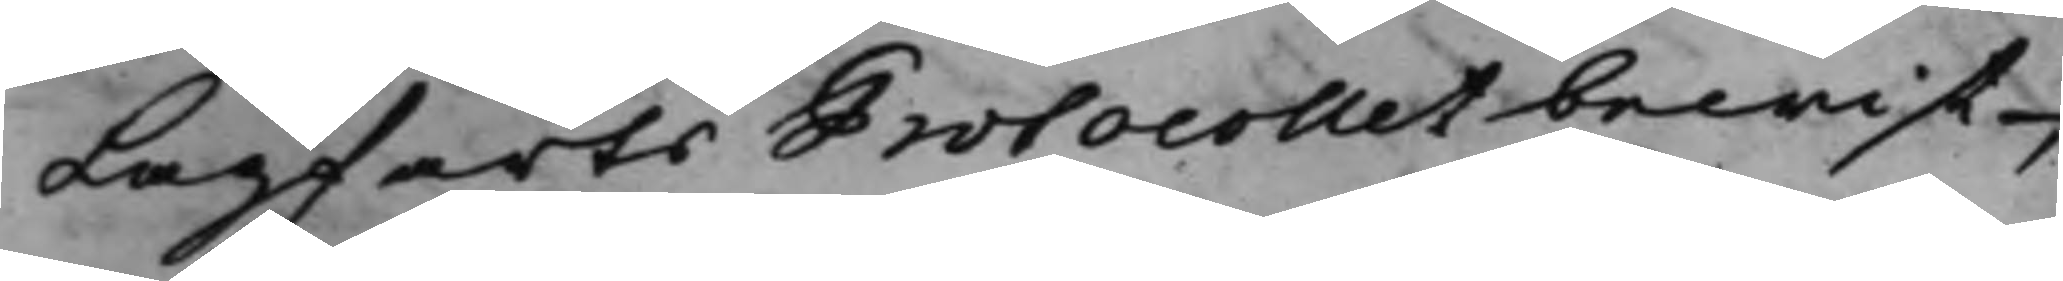Lagfarts Protocollet bewist,
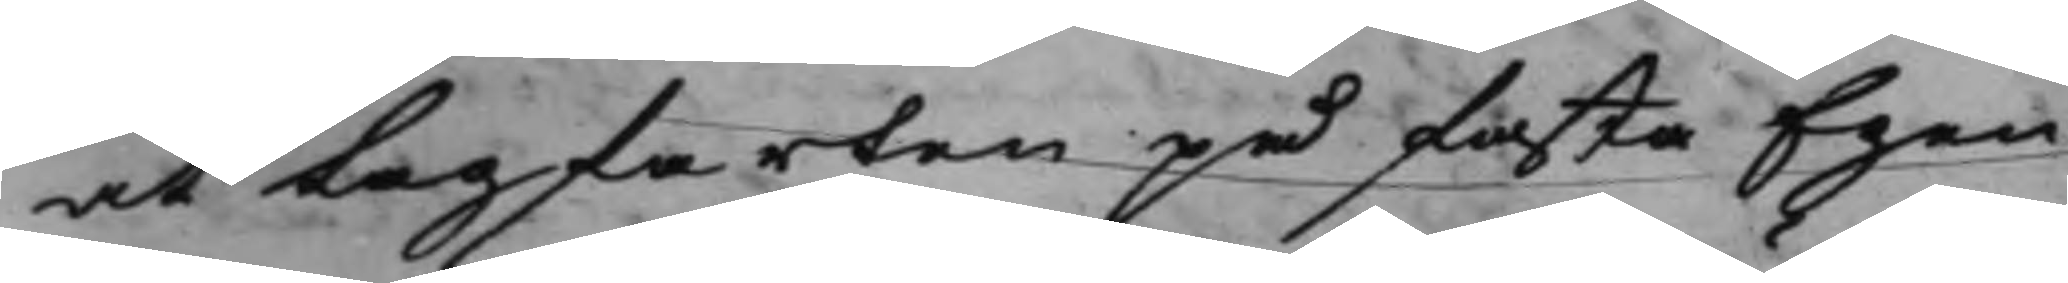att Lagfarten på fasta Egen¬
